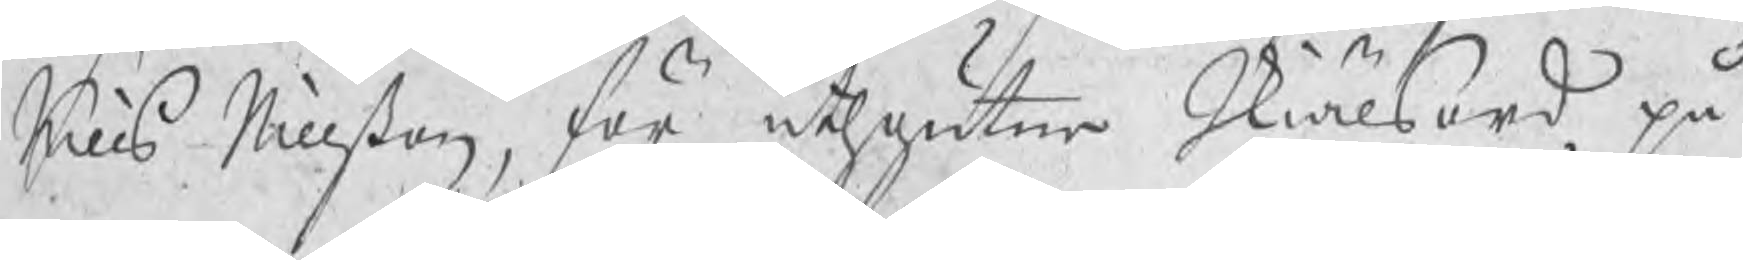Nills Nillßon, för uthgutne Skiälsord på
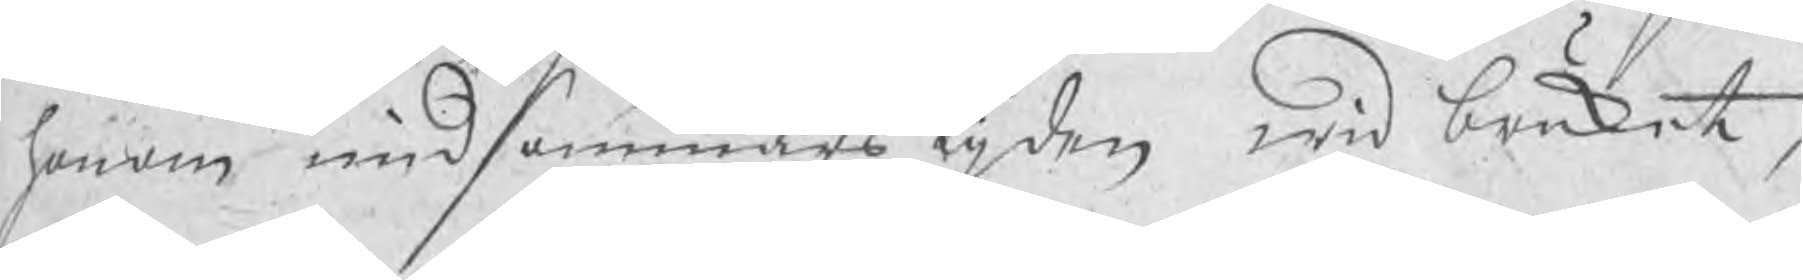honom midsommarstijden wid bruket,
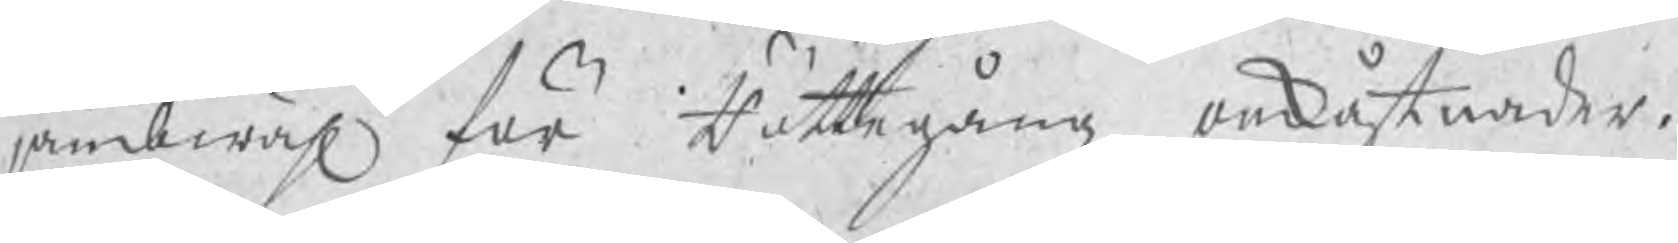jämbwähl för Rättegångz omkåstnader.
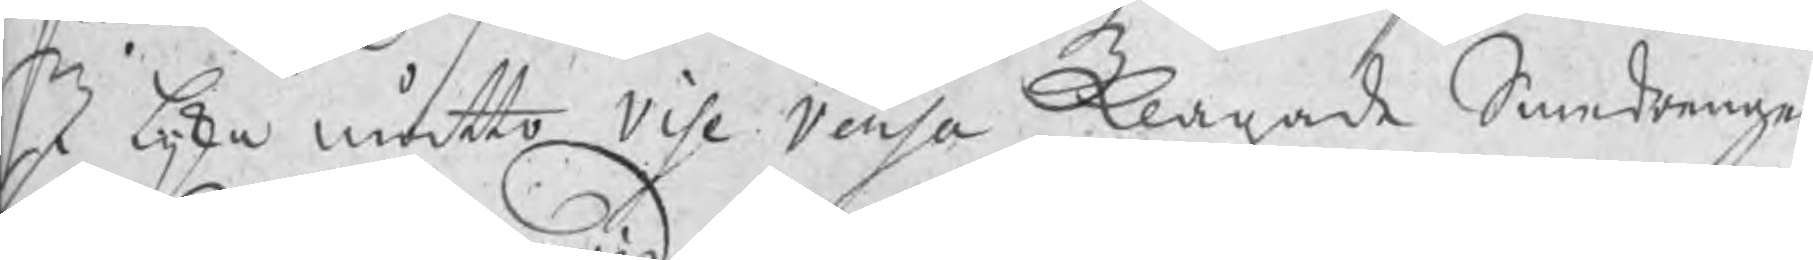I lijka måtto vise versa klagade Smedrengen
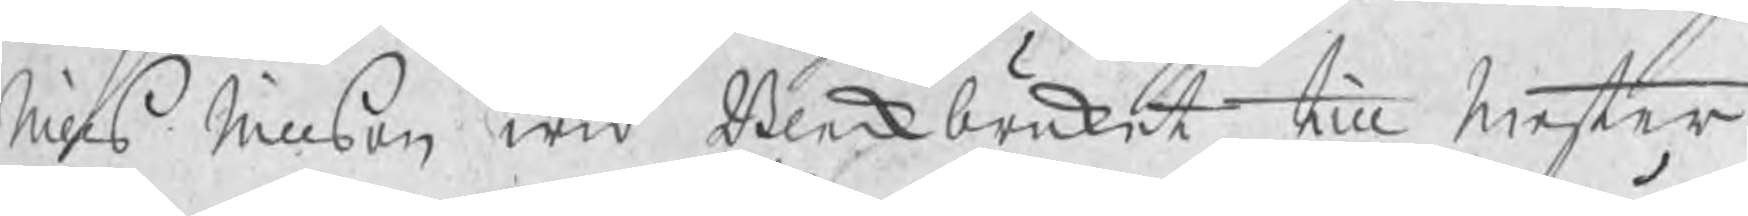Nills Nillson wid Bleckbruket, till Mester
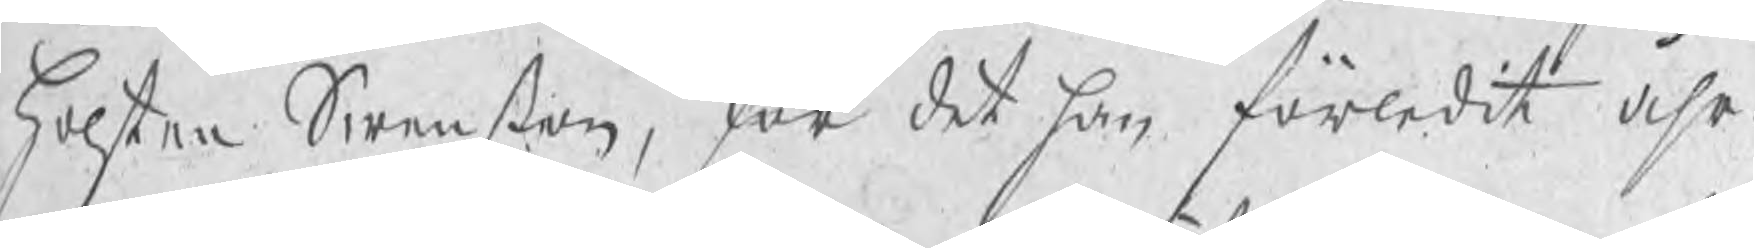Holsten Swenßon, för det han förledit åhr
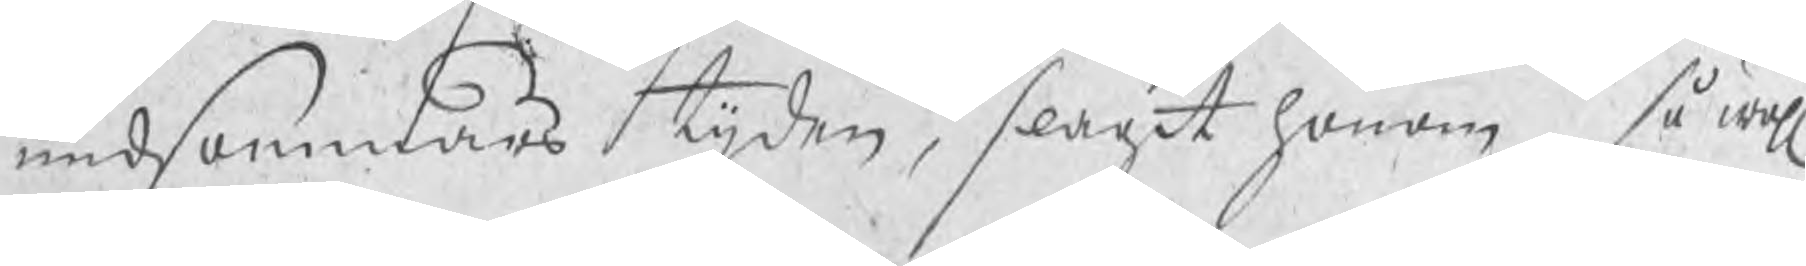midsommars tijden, slagit honom så wähl
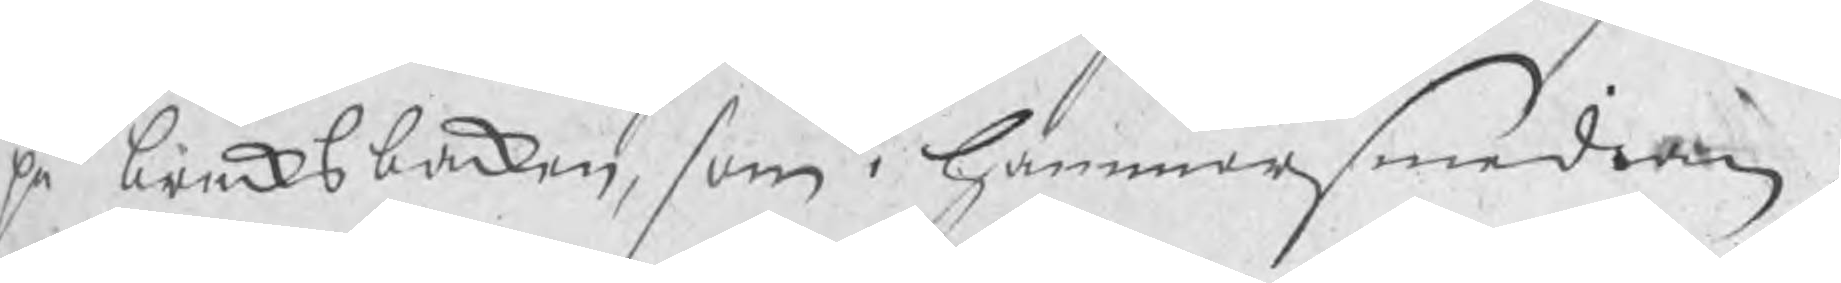på bruksbacken, som i Hammarsmedian,
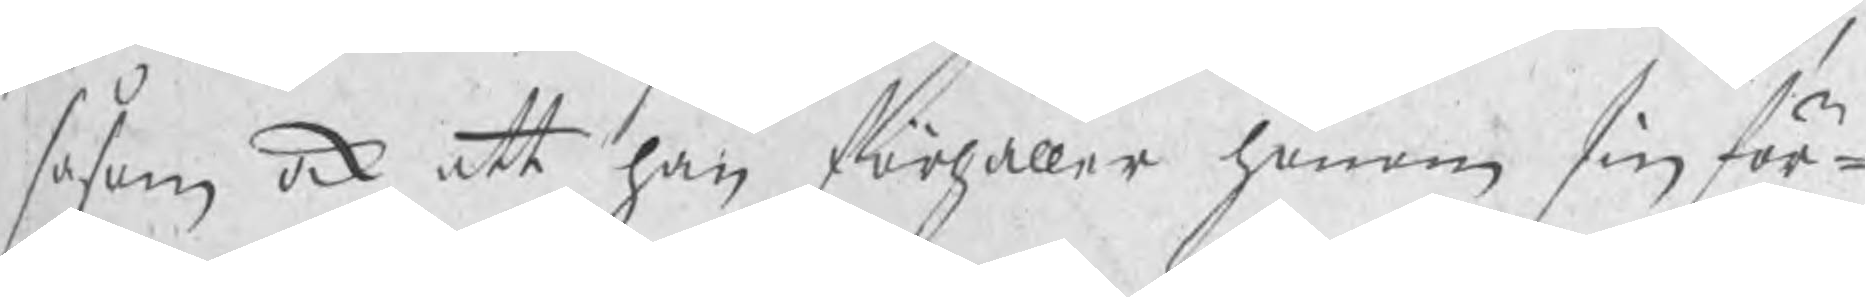såsom ock att han förhåller honom sin för¬
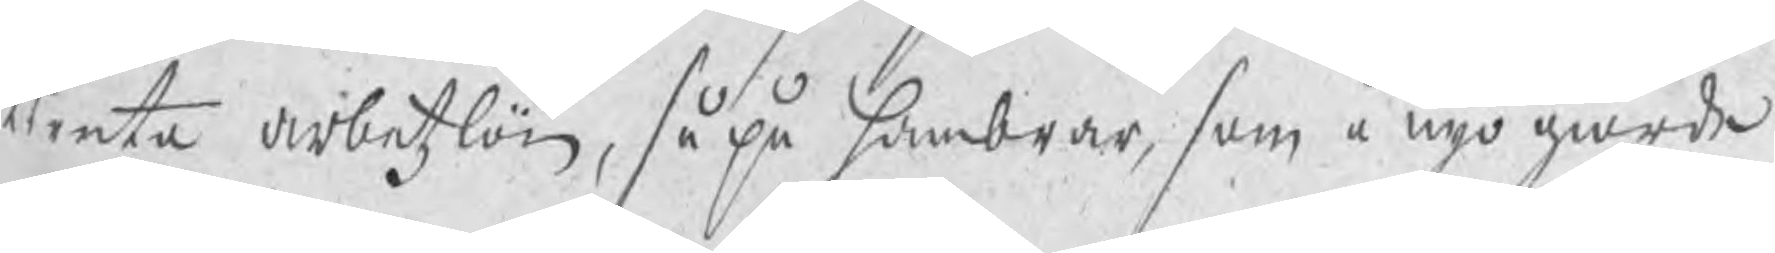tiente arbetzlön, så på hambrar, som å nyo giorde
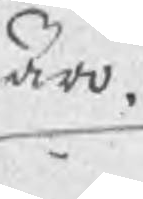äro.
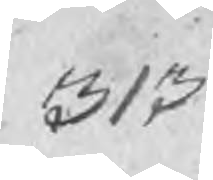313
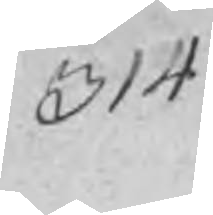314
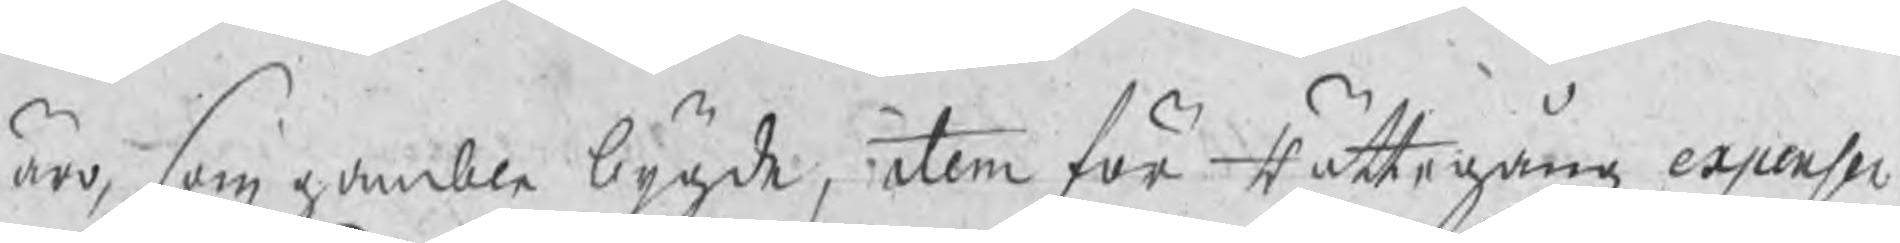äro, som gamble bygde, item för Rättegångz expenser.
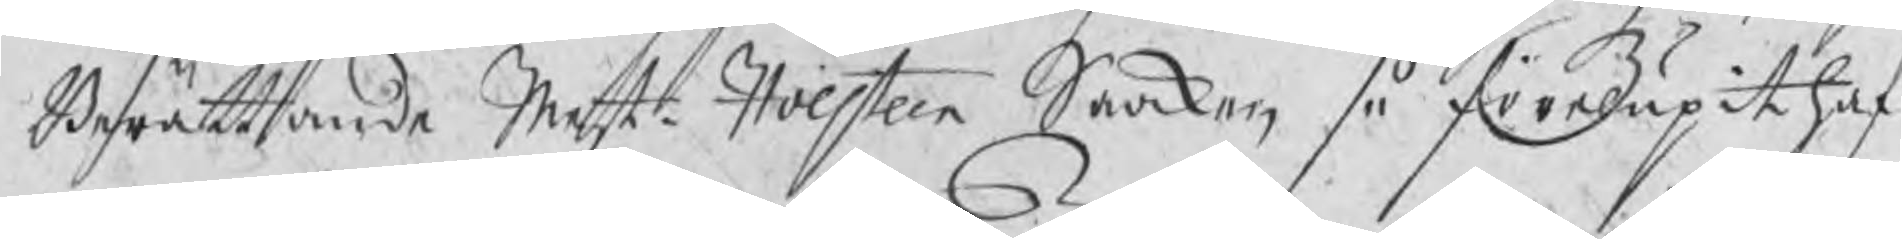Berättande Mestr Holsteen Saaken så förelupit haf¬
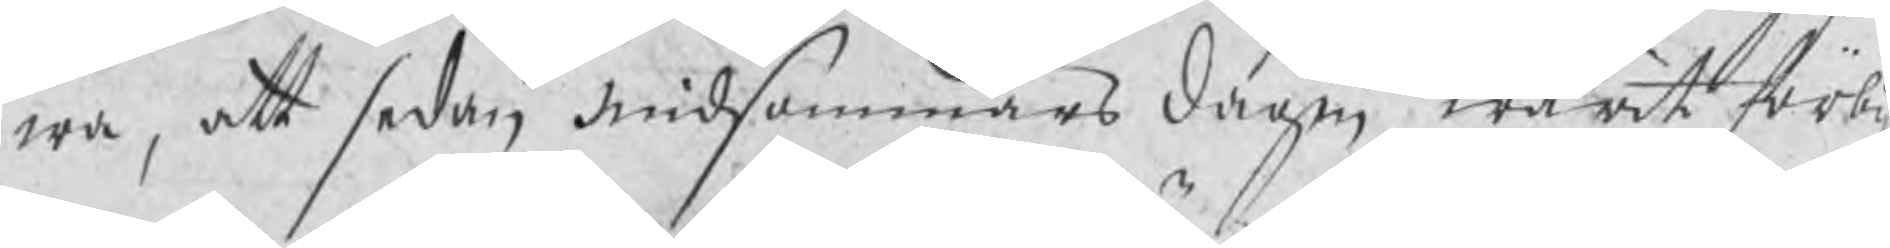wa, att sedan midsommars dagen warit förbij
